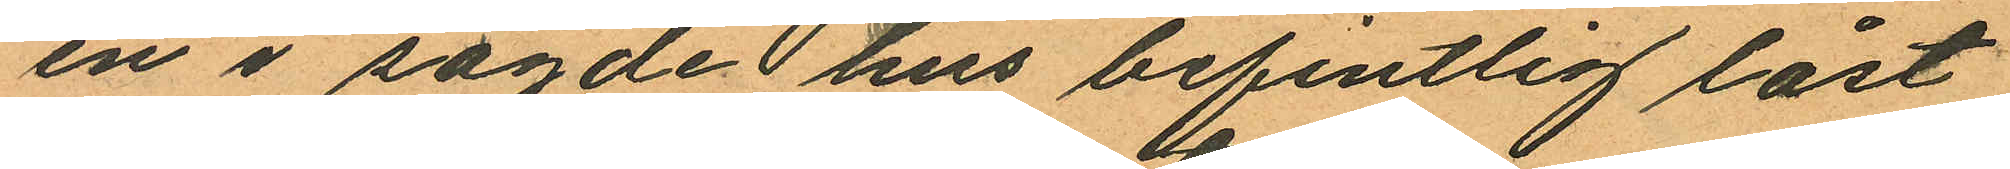en i sagde hus befintlig låst
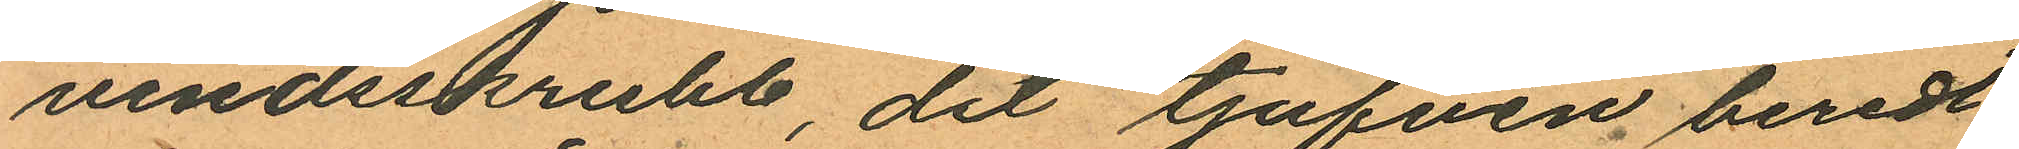vindsskrubb, dit tjufven beredt
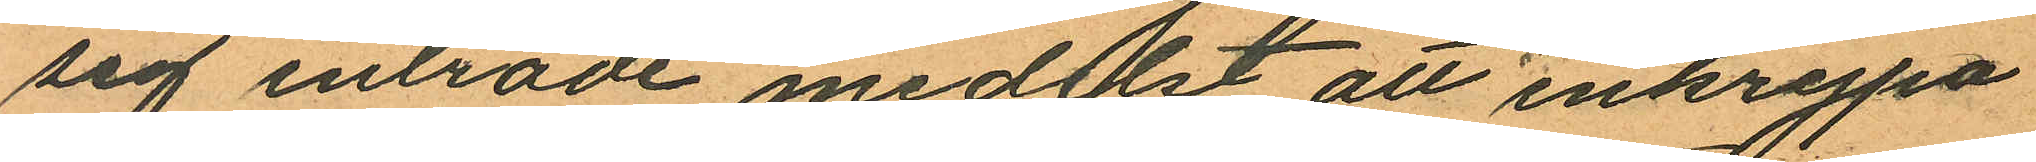sig inträde medelst att inkrypa
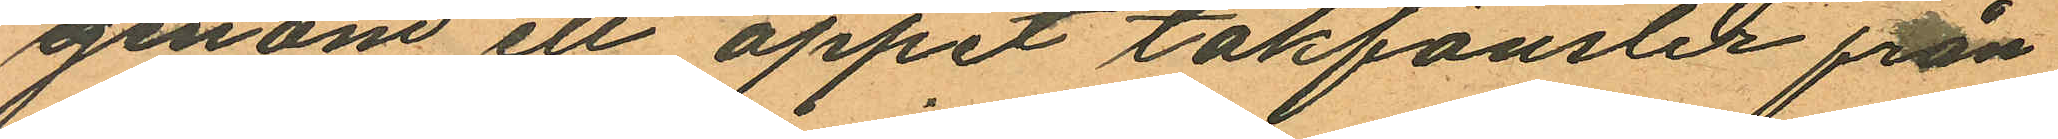genom ett oppet takfönster från
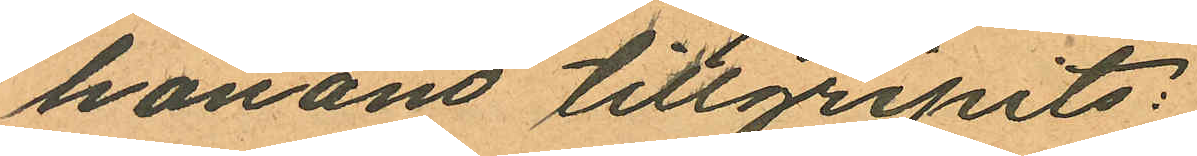honom tillgripits:
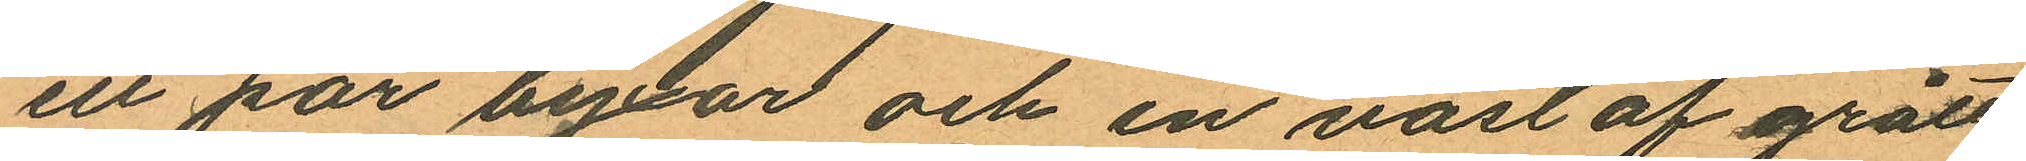ett par byxor och en väst af grått
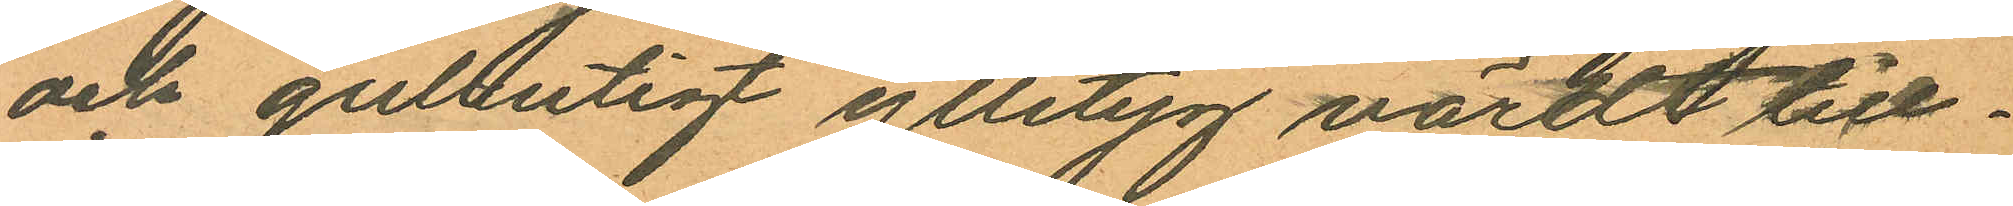och gulrutigt ylletyg värdt till¬
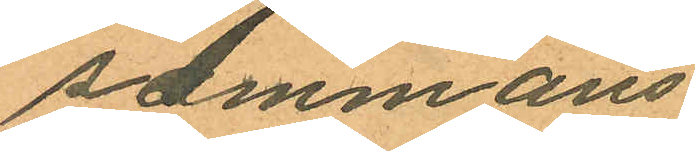sammans
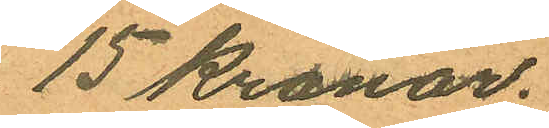15 Kronor.
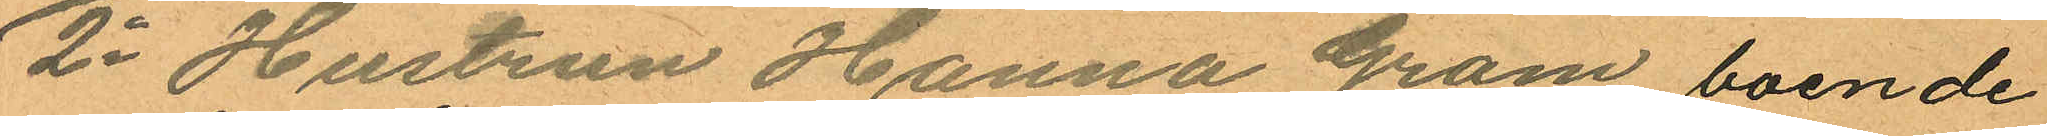2o Hustrun Hanna Gram boende
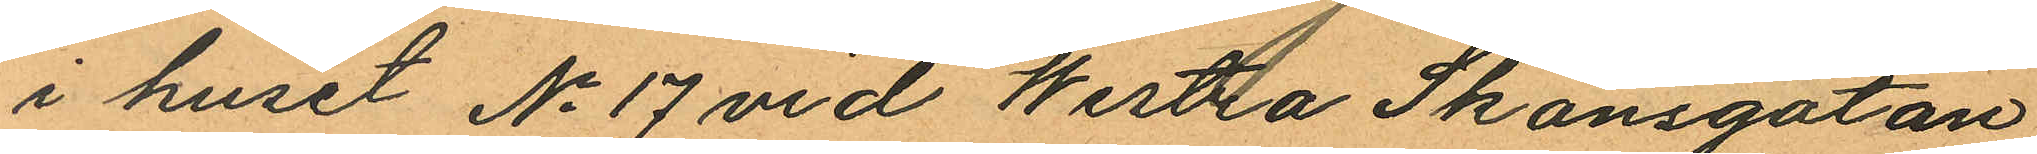i huset No 17 vid Westra Skansgatan
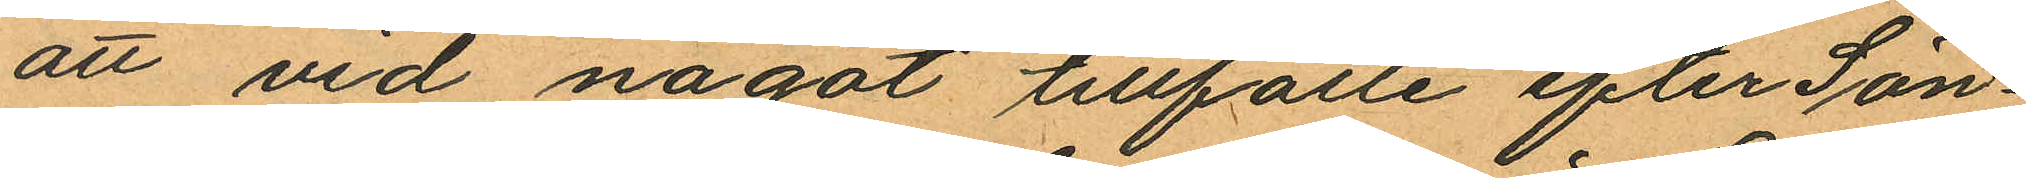att vid något tillfälle efter Sön¬
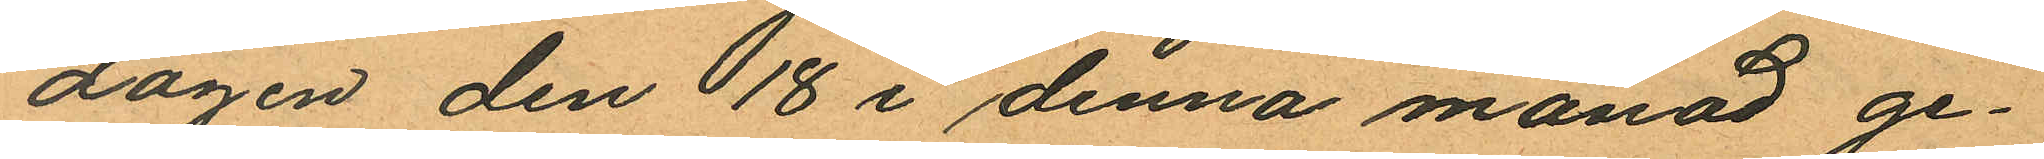dagen den 18 i denna månad ge¬
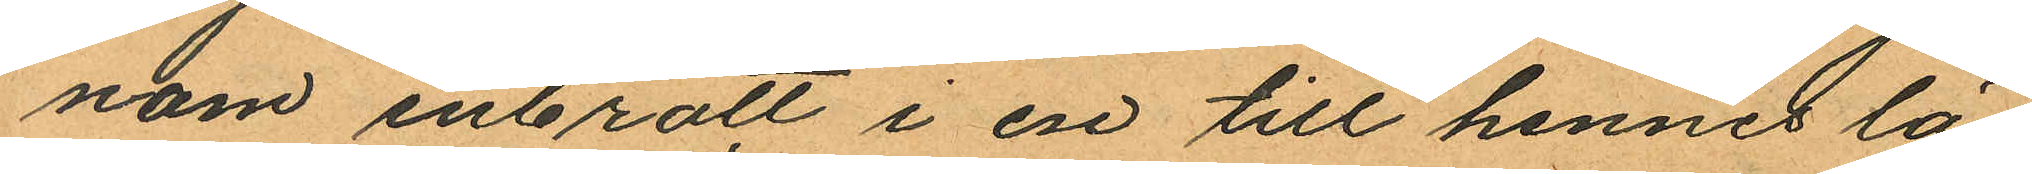nom inbrott i en till hennes lä¬
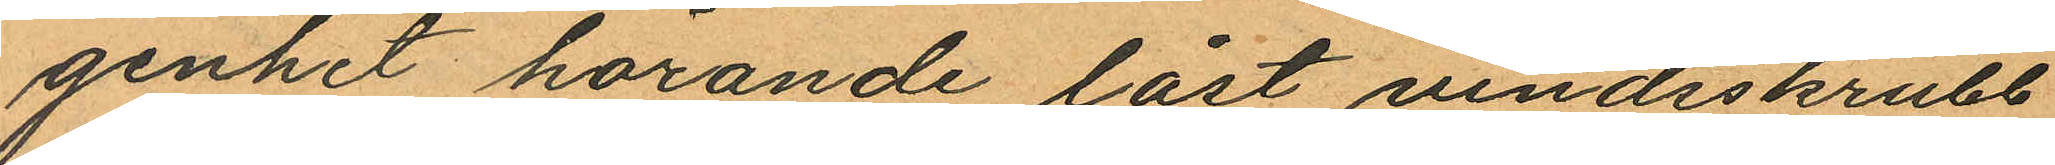genhet hörande låst vindsskrubb
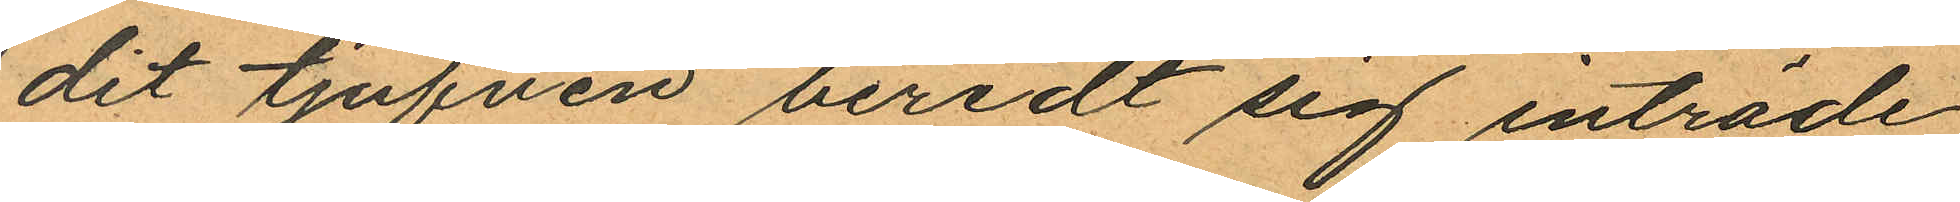dit tjufven beredt sig inträde
